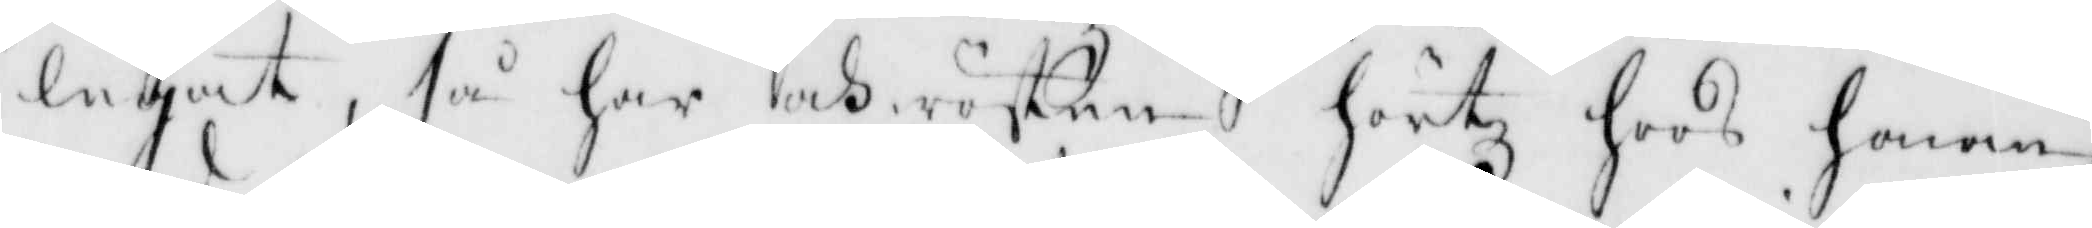legat, så har och rösten hörtz hoos honom,
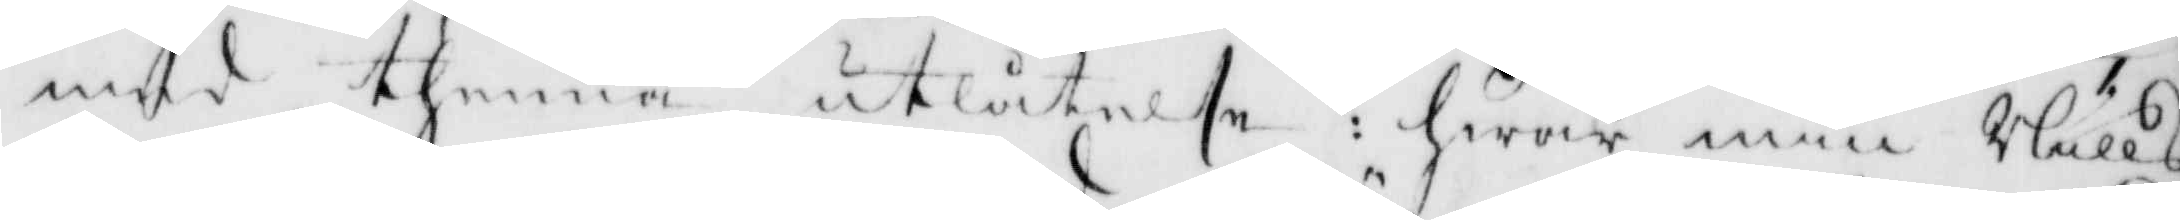med thenna utlåtelse: hwar min Nills
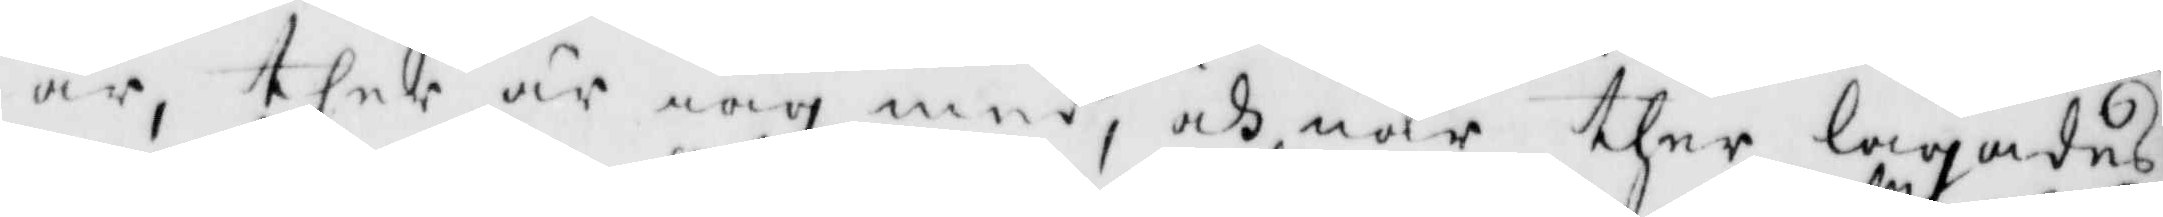är, ther är iag ed, och när ther lagades
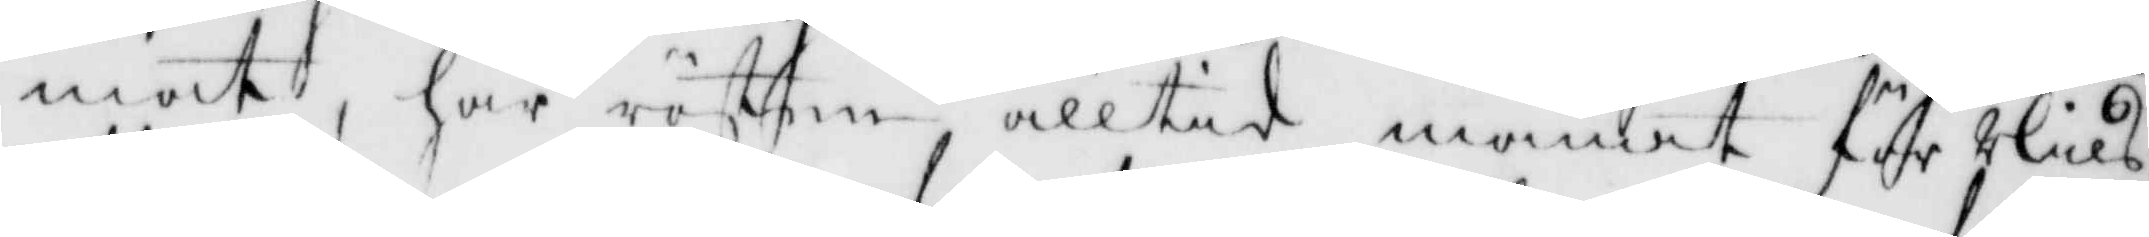mat, har rösten alltid manat för Nils
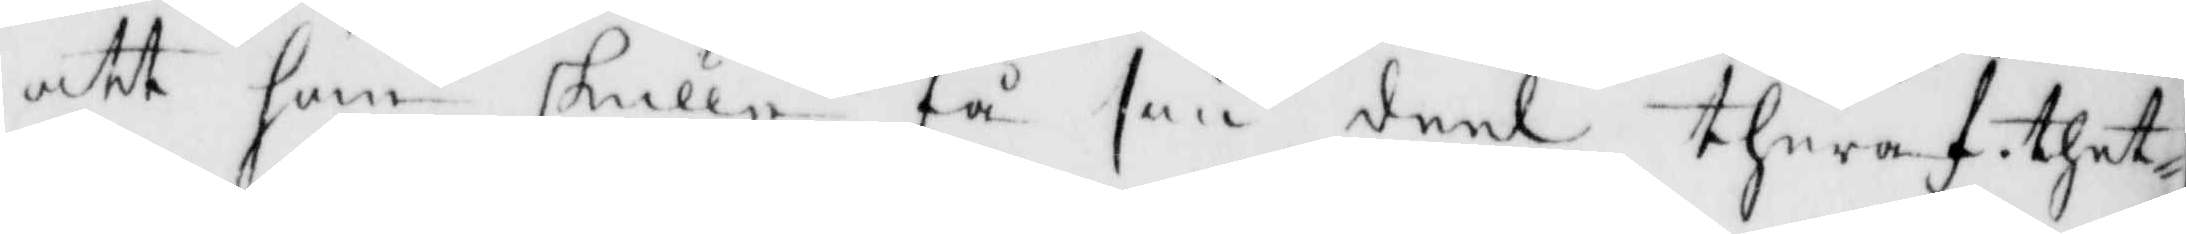att han skulle få sin deel theraf. thet¬
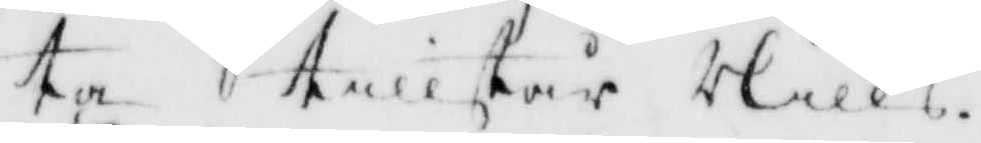ta tillstår Nills.
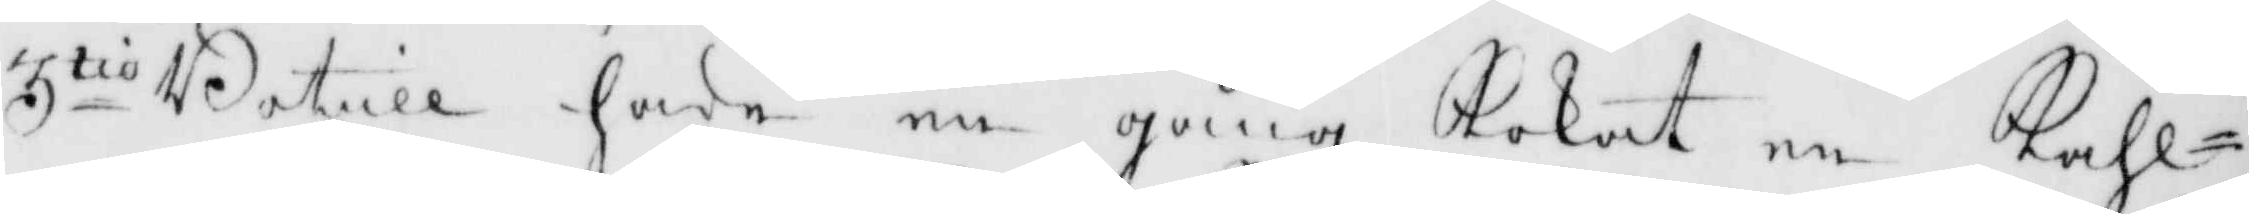3tio Botill hade en gång Kokat en Kåhl¬
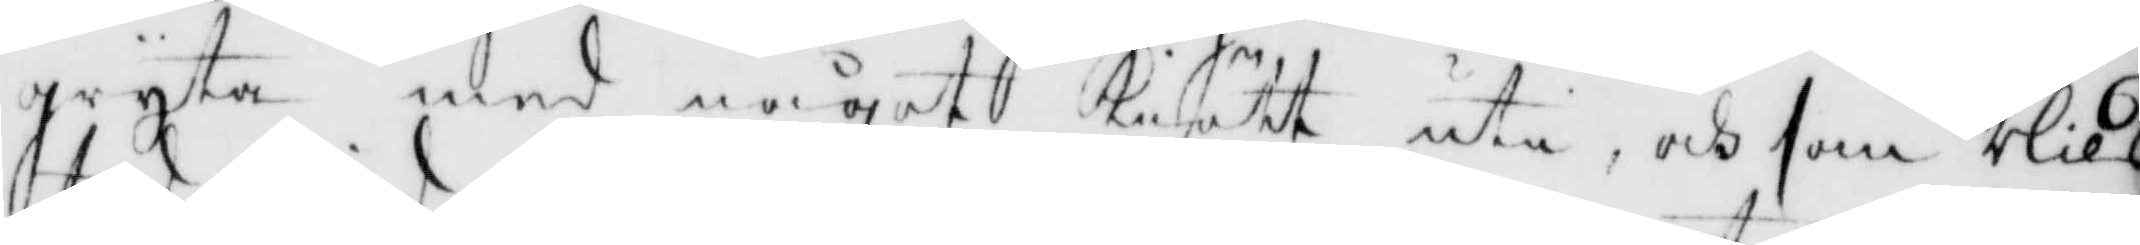gryta med något Kiött uti, och som Nils
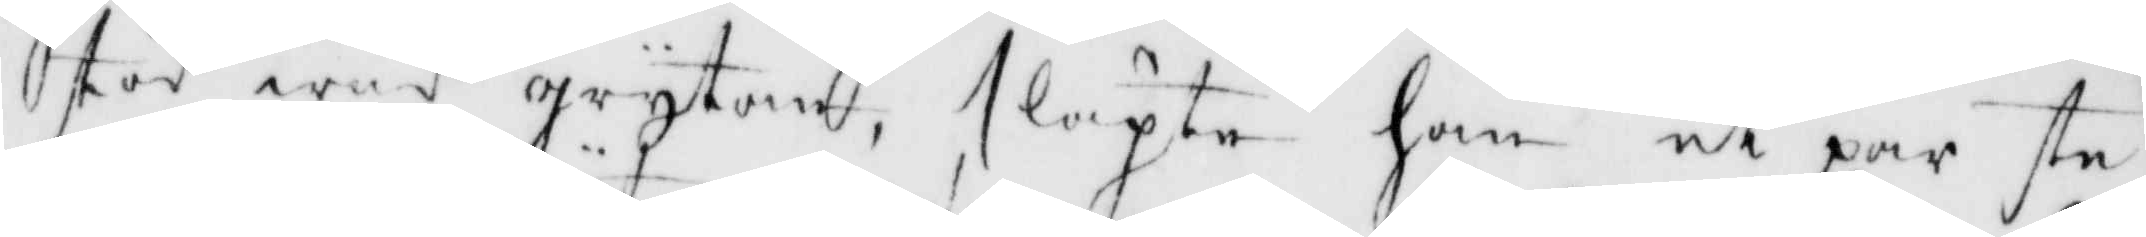stod wid grytan, släpte han et par ste¬
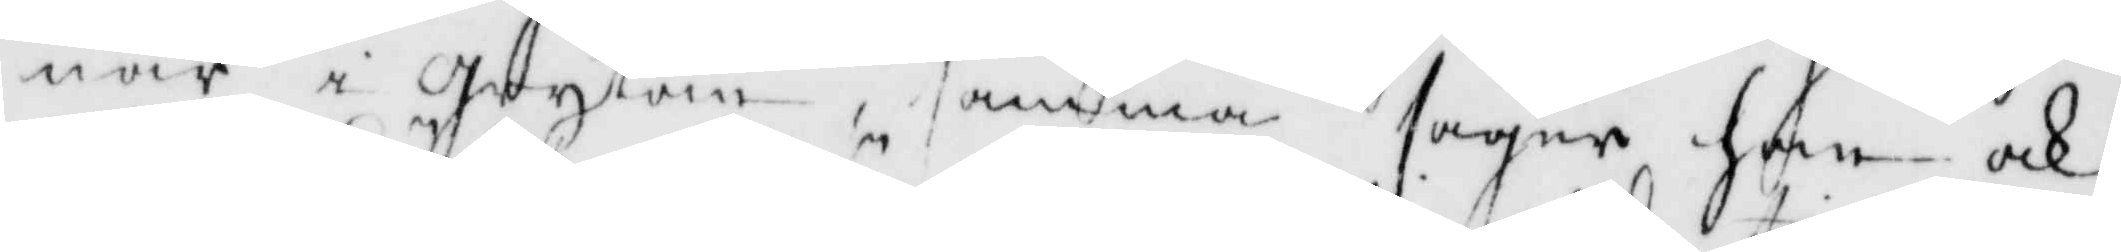nar i grytan, samma säger han ock
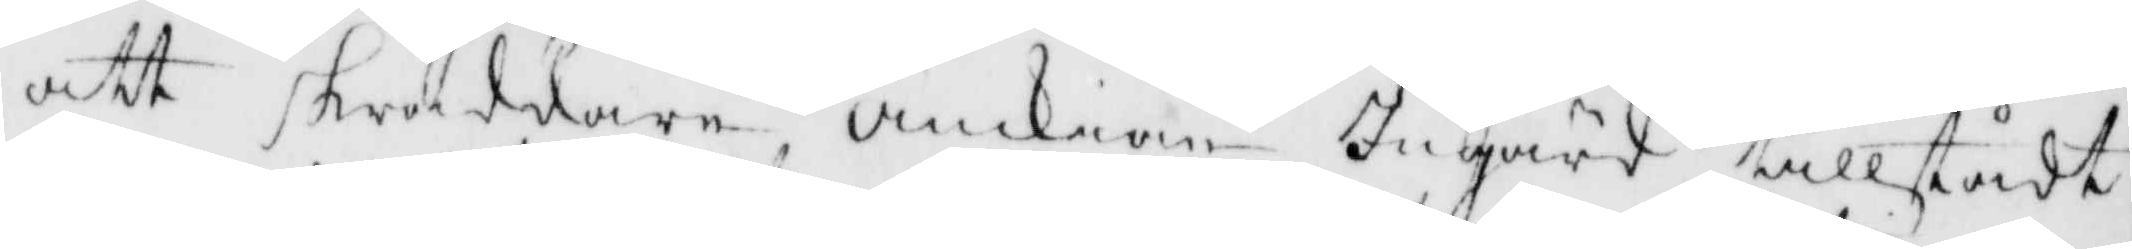att skräddare Änckian Ingärd tillstådt
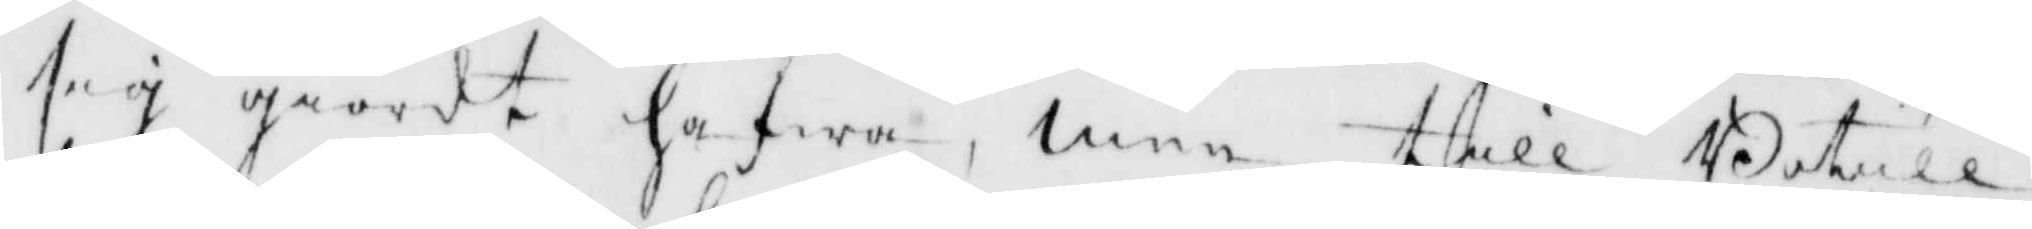sig giordt hafwa, men till Botill
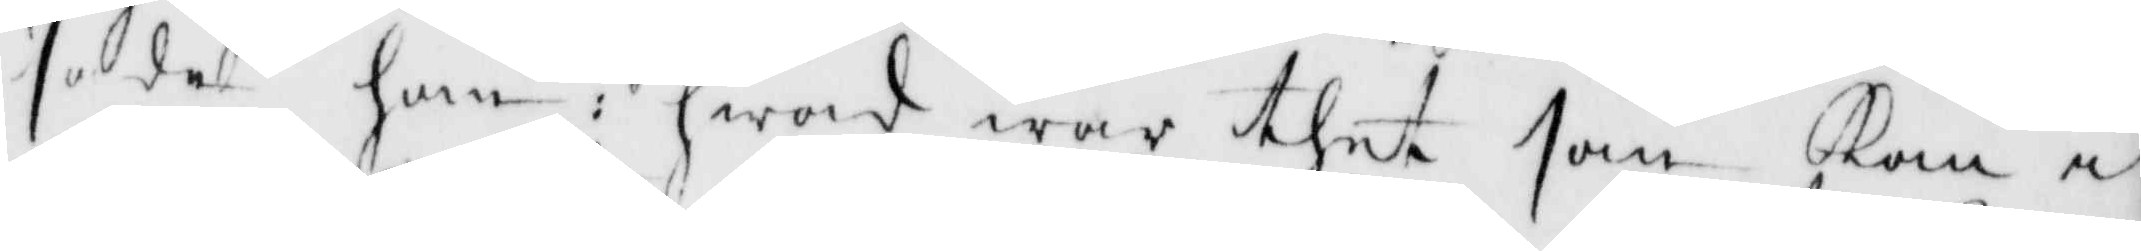sade han: hwad war thet som kom i
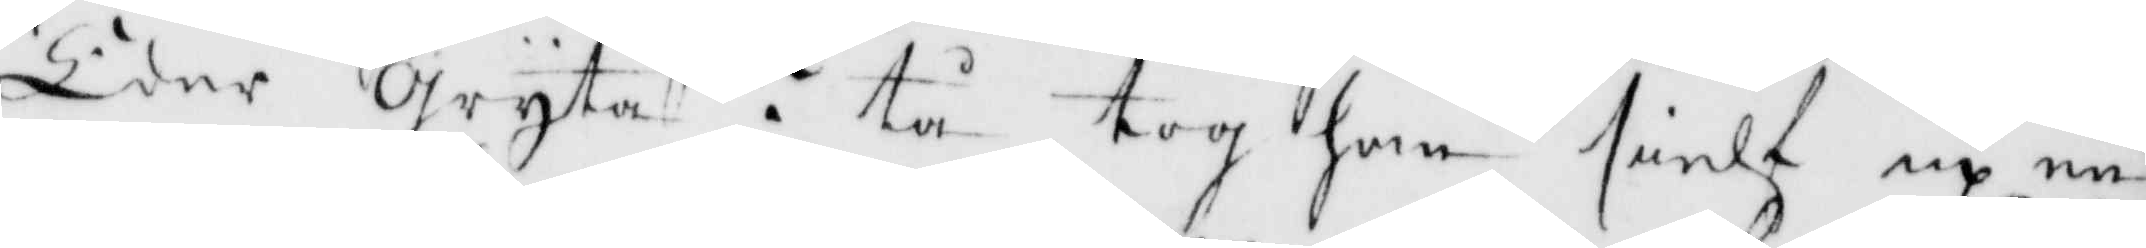Eder gryta? tå tog han sielf up en
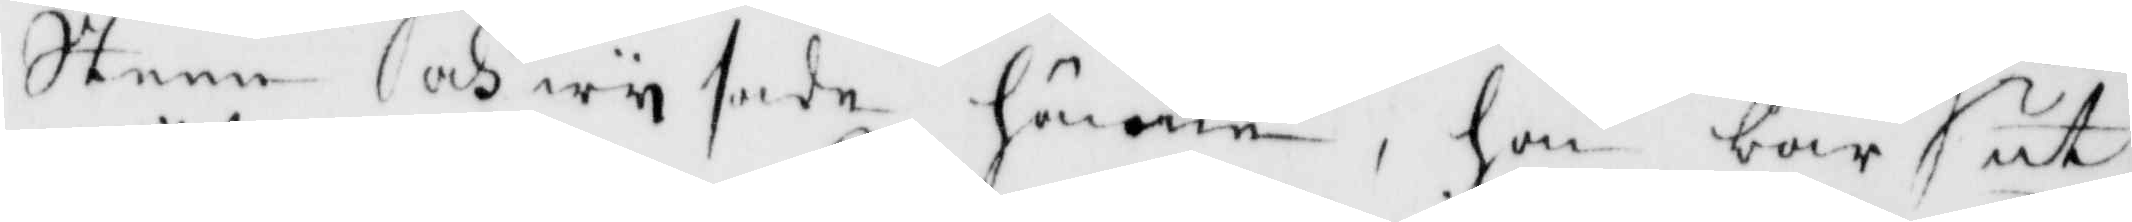steen och wysade hänne, hon bar ut
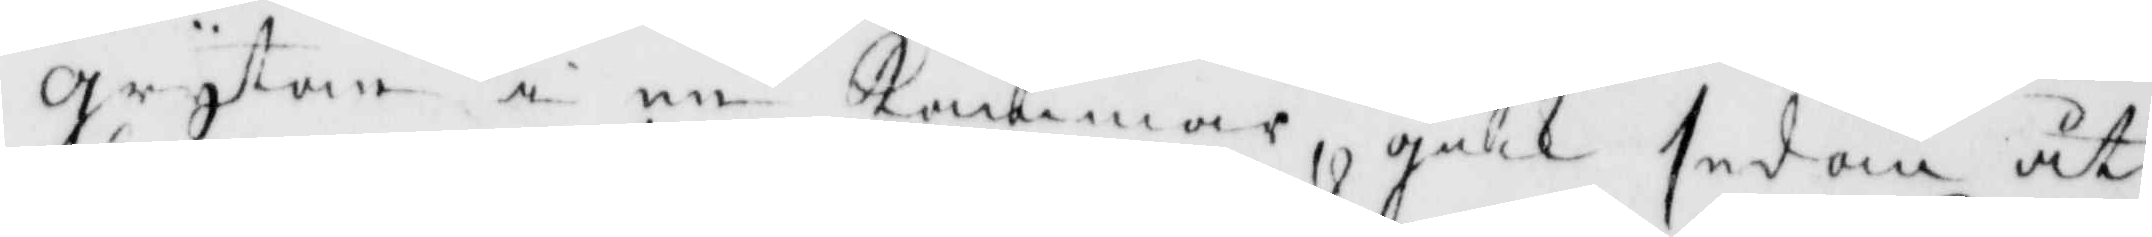grytan i en kammar, gick sedan åt
